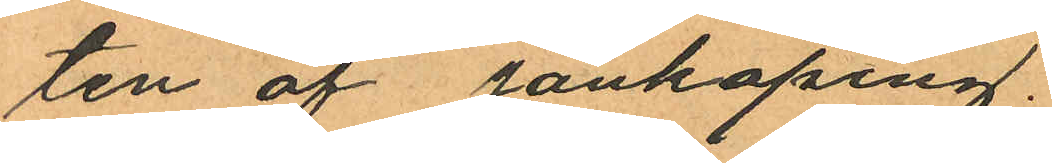ten af Jönköping.
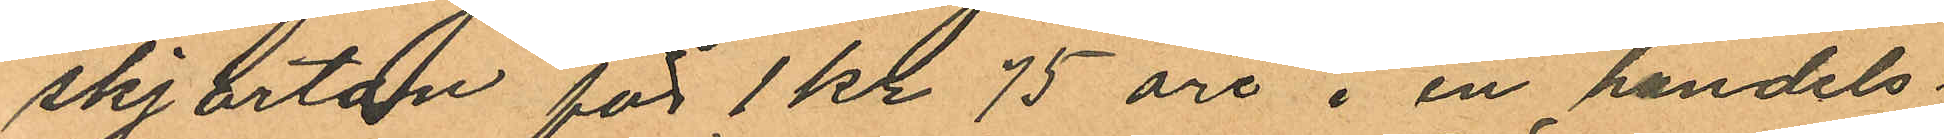skjortan för 1 kr 75 öre i en handels
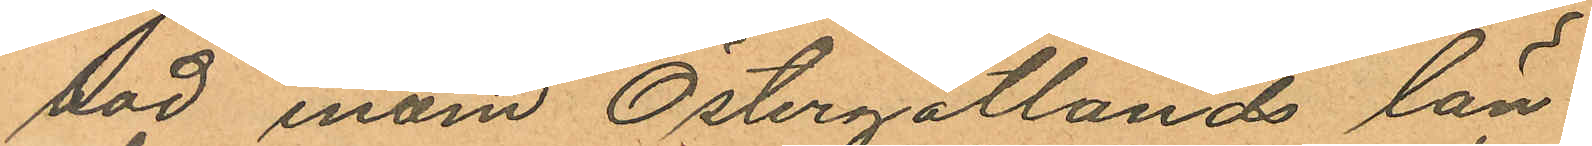bod inom Östergötlands län
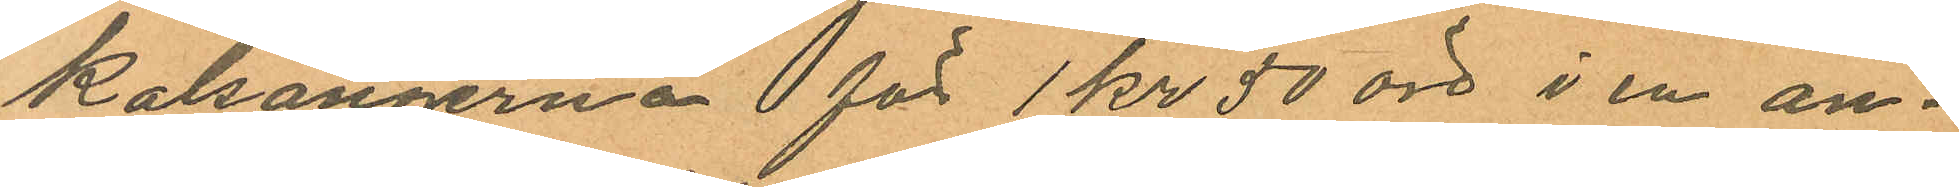kalsongerna för 1 kr 50 öre i en an¬
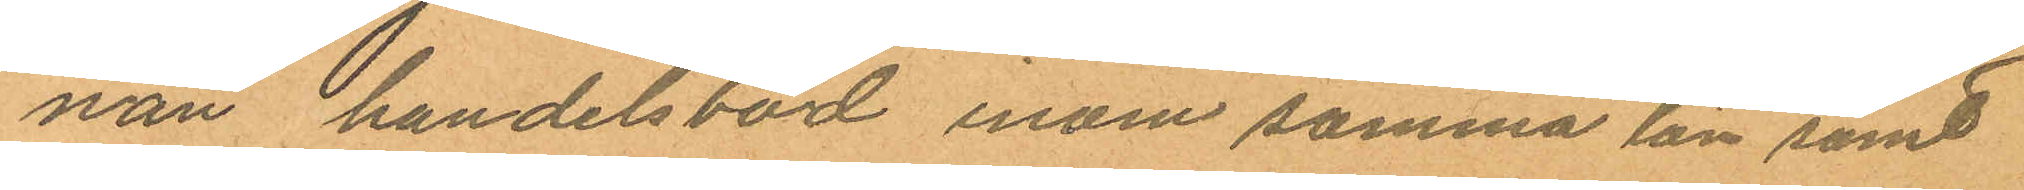nan handelsbod inom samma län samt
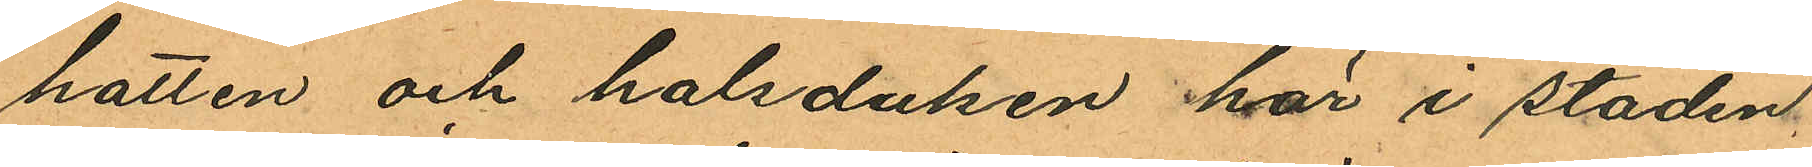hatten och halsduken här i staden,
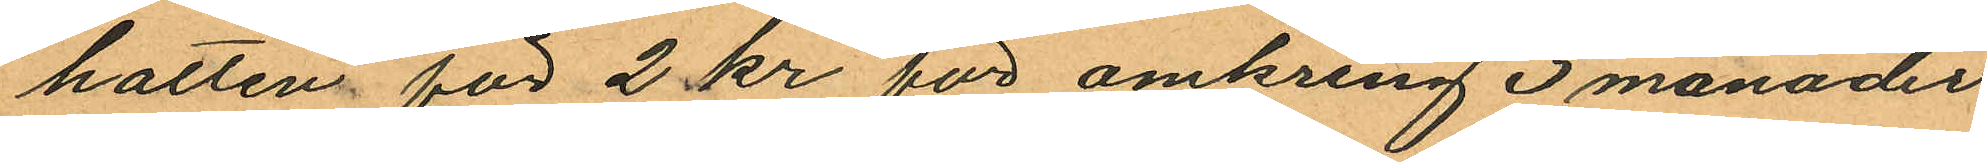hatten för 2 kr för omkring 3 månader
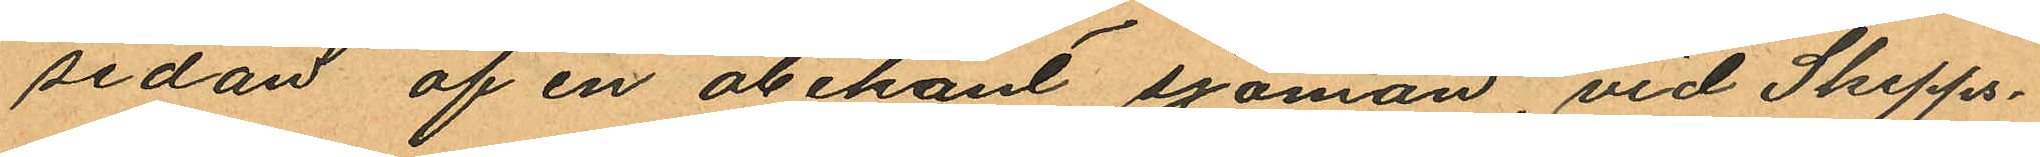sedan af en obekant sjöman, vid Skepps¬
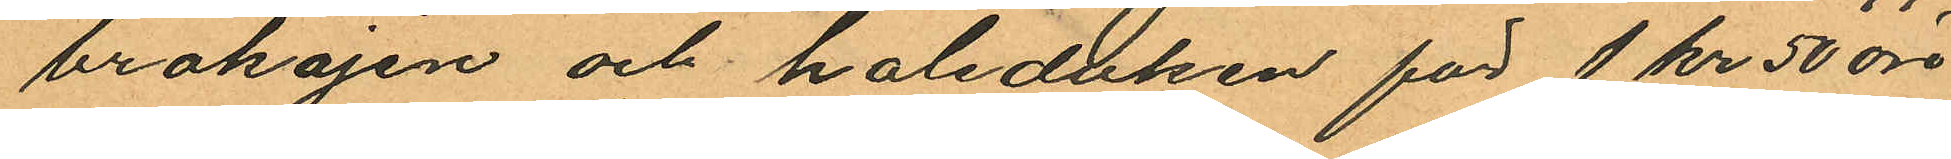brokajen och halsduken för 1 kr 50 öre
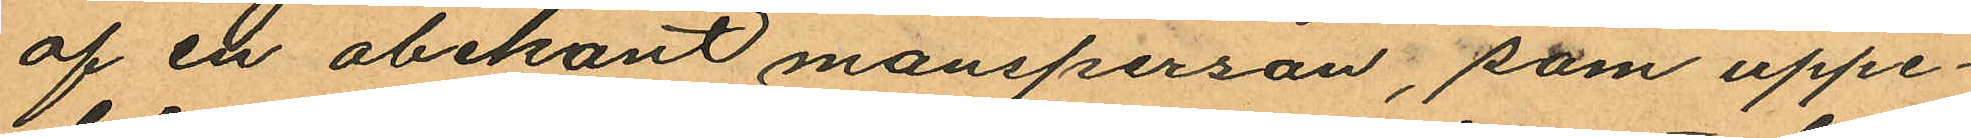af en obekant mansperson, som uppe¬
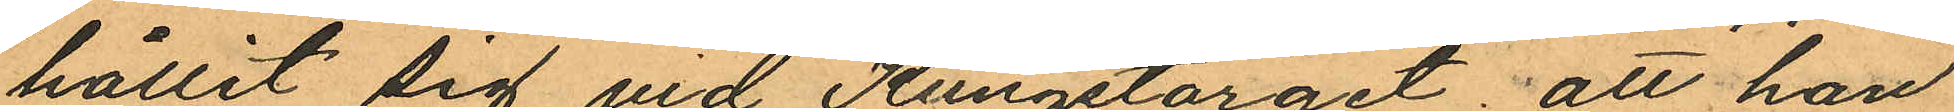hållit sig vid Kungstorget; att han
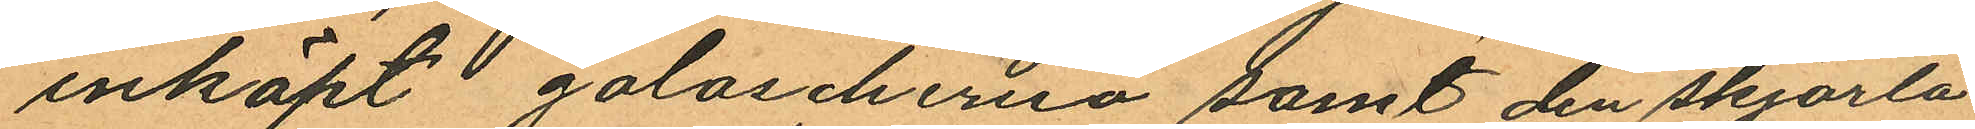inköpt galoscherna samt den skjorta
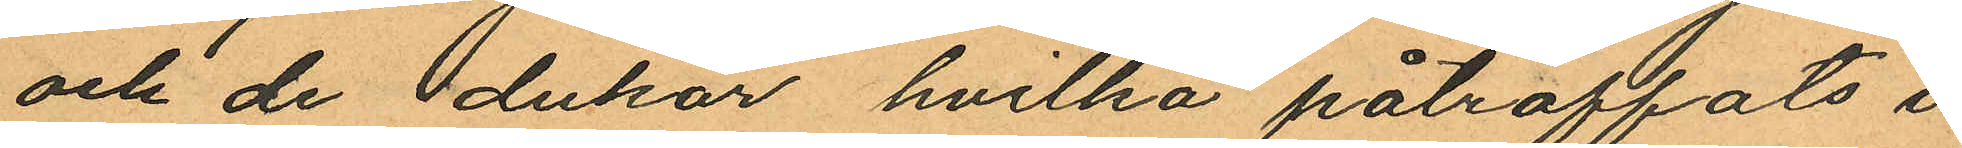och de dukar hvilka påträffats i
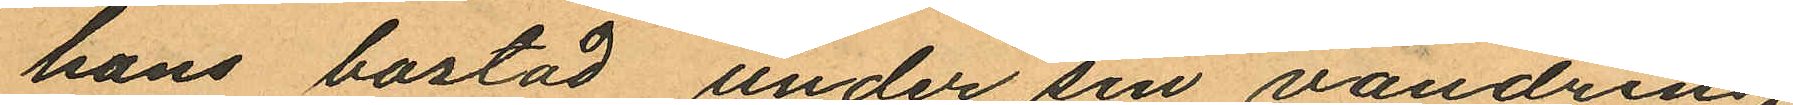hans bostad under sin vandring
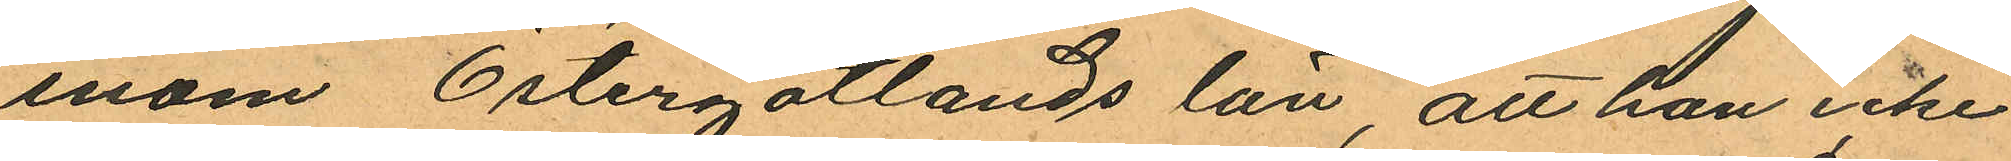inom Östergötlands län, att han icke
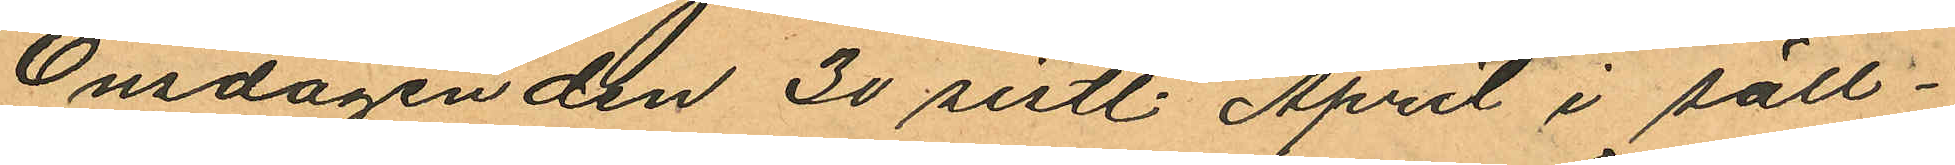Onsdagen den 30 sistl. April i säll¬
